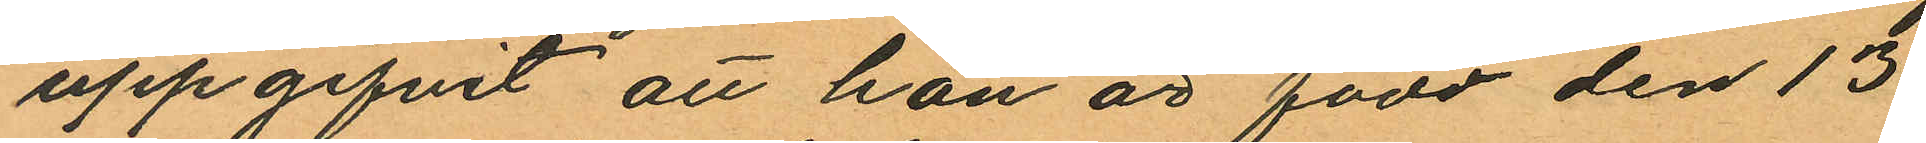uppgifvit att han är född den 13
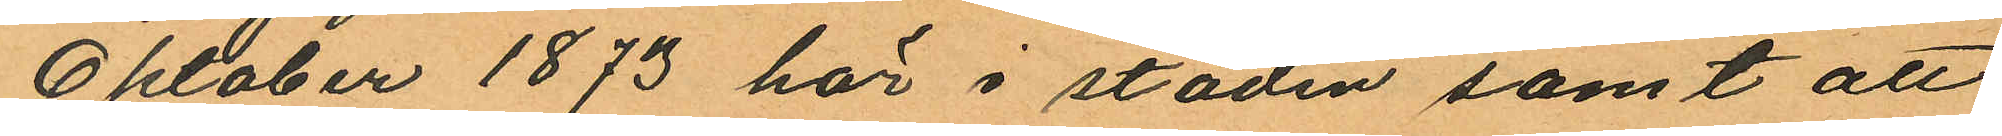Oktober 1873 här i staden samt att
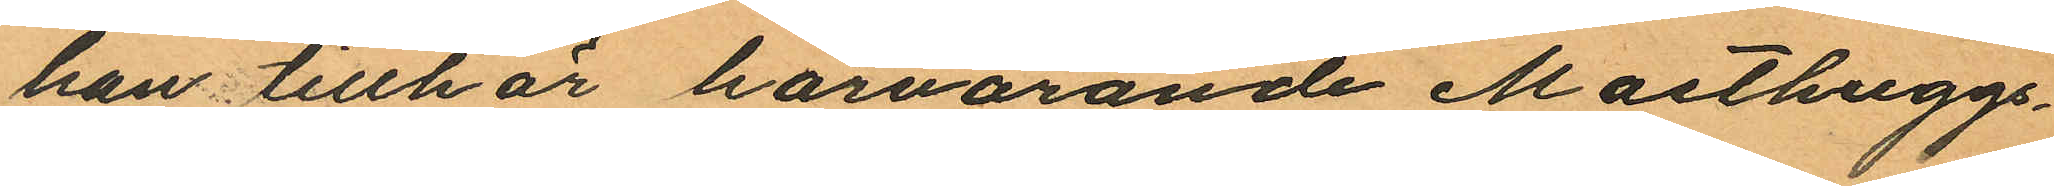han tillhör härvarande Masthuggs¬
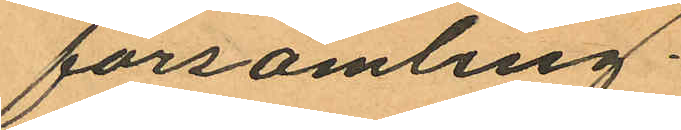församling.
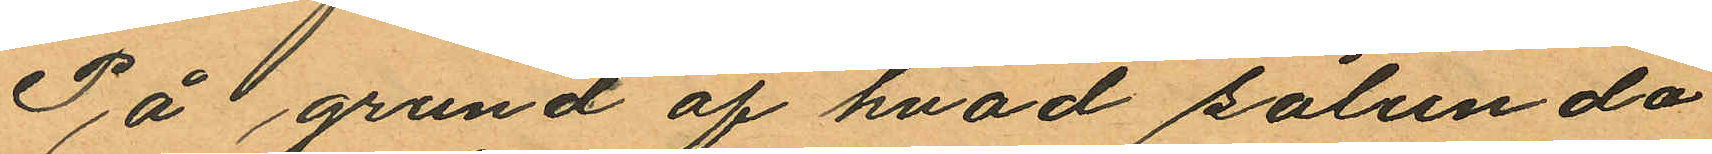På grund af hvad sålunda
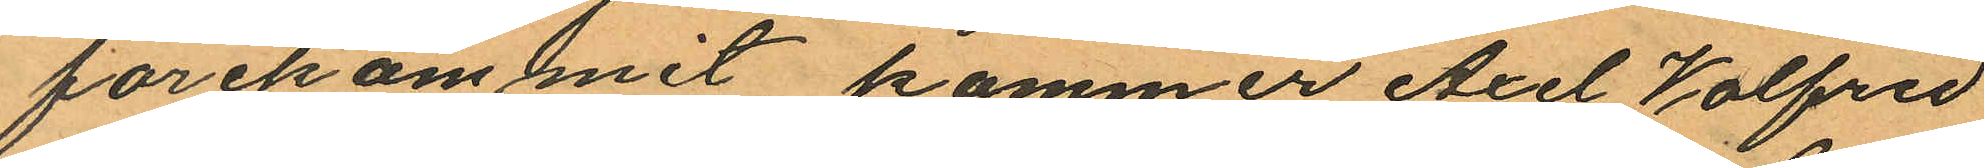förekommit kommer Axel Valfrid
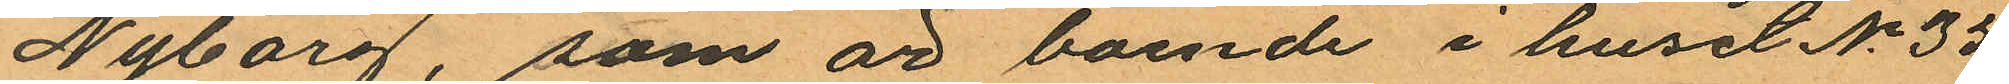Nyborg, som är boende i huset No 35
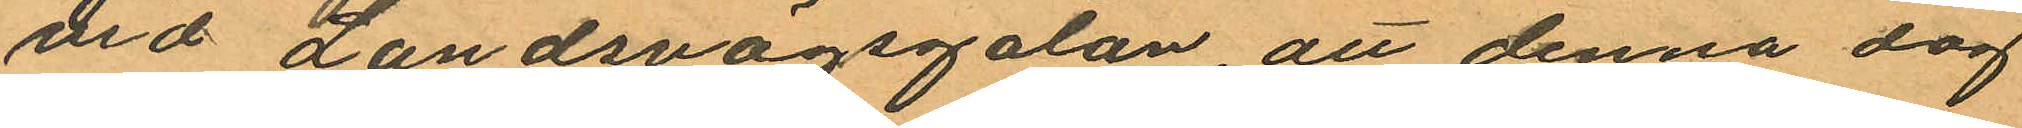vid Landsvägsgatan, att denna dag
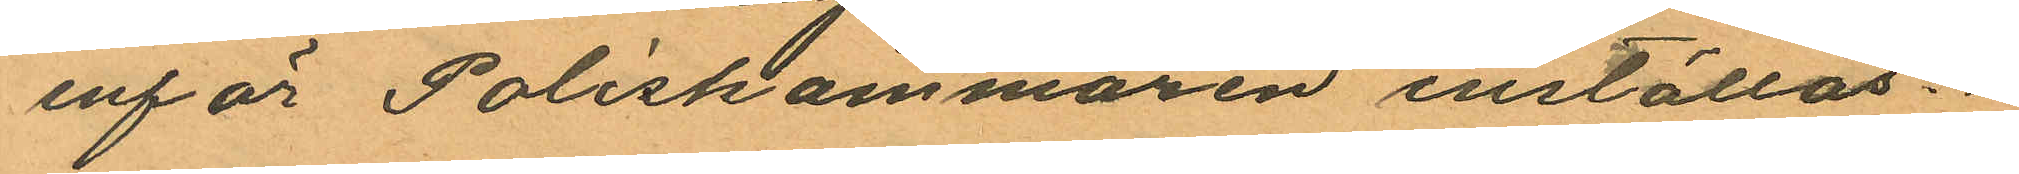inför Poliskammaren inställas.
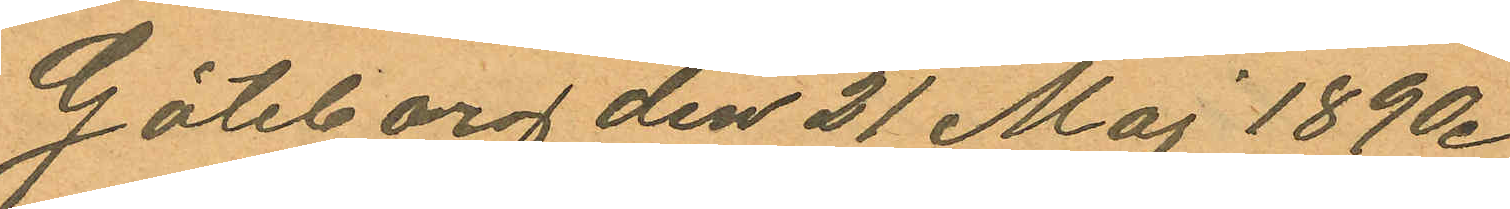Göteborg den 21 Maj 1890.
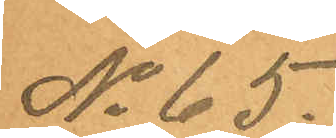No 65.
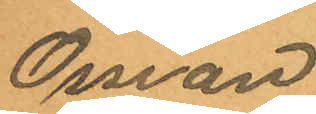Ossian
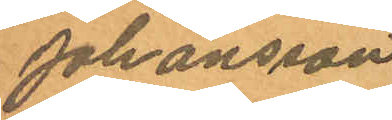Johansson
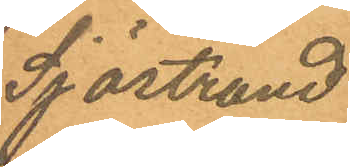Sjöstrand
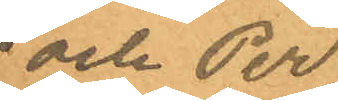och Per
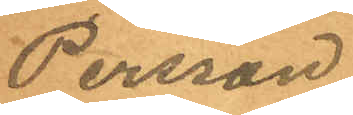Persson
